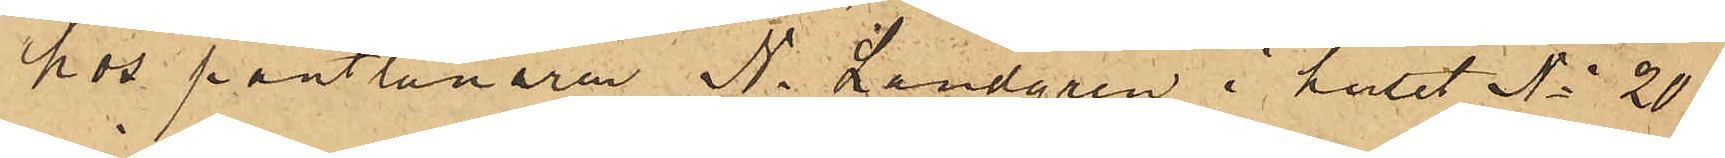hos pantlånaren N. Landgren i huset No 20
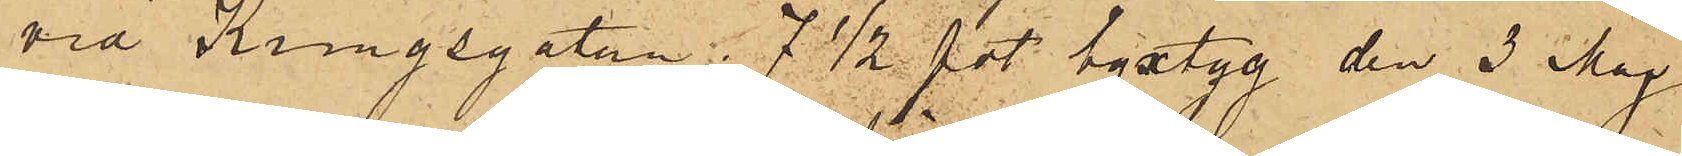vid Kungsgatan:  7½ fot byxtyg den 3 Maj
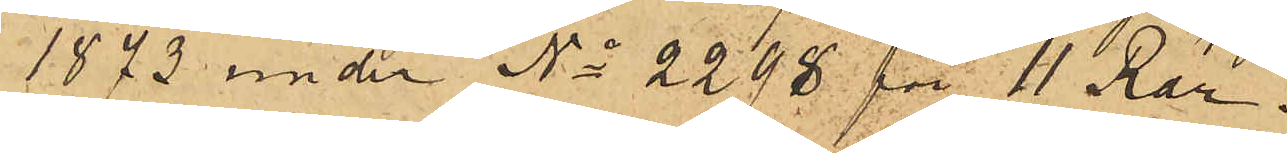1873 under No 2298 för 11 Rdr;
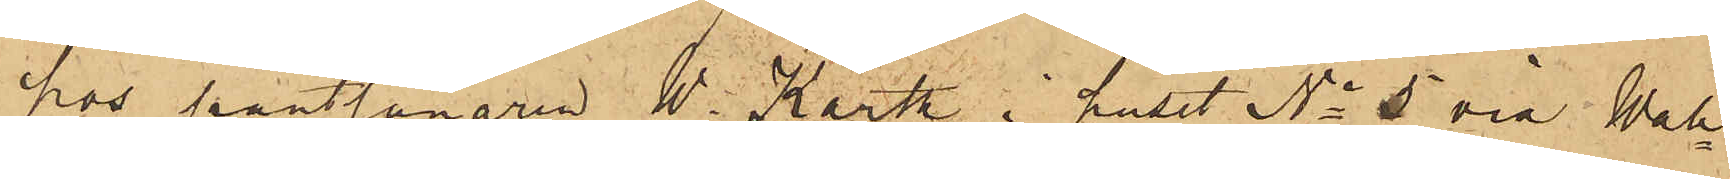hos pantlånaren W. Karth i huset No 5 vid Wall¬
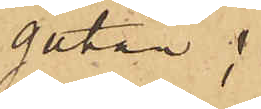gatan:
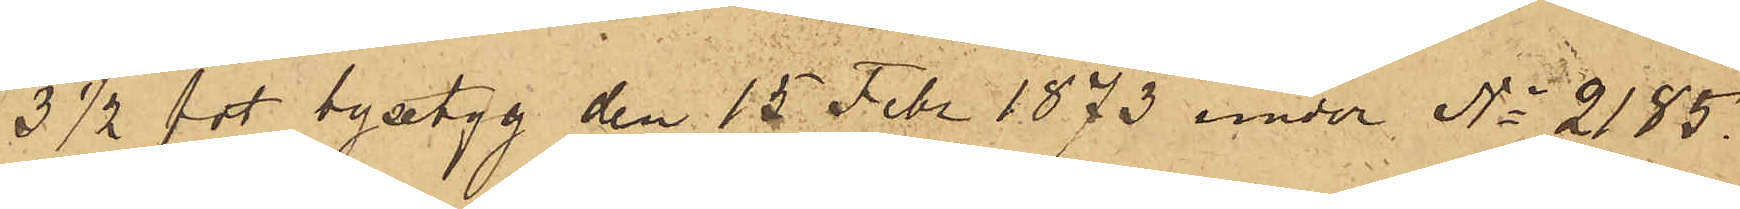3 ½ fot byxtyg den 15 Febr 1873 under No 2185.
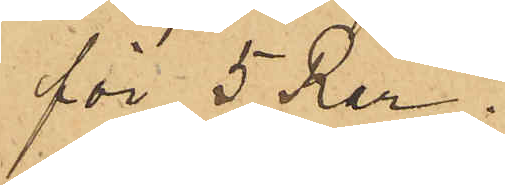för 5 Rdr;
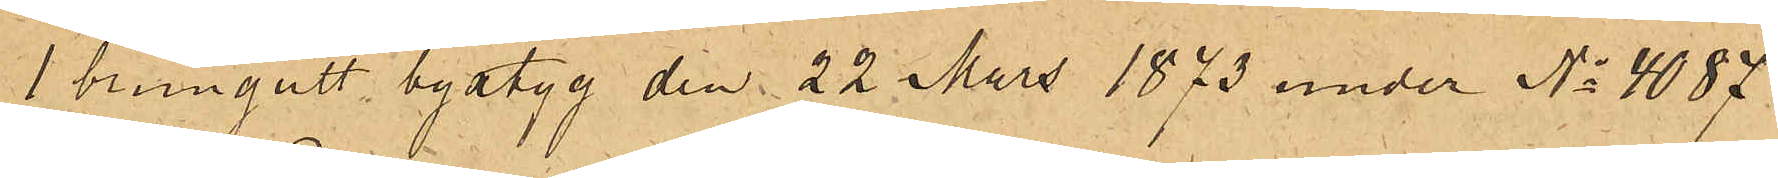1 brungult byxtyg den 22 Mars 1873 under No 4087
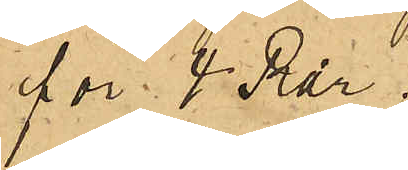för 4 Rdr;
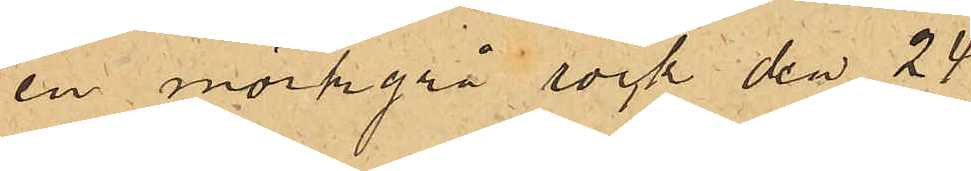en mörkgrå rock den 24
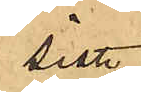sist.
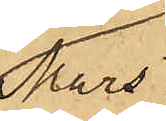Mars
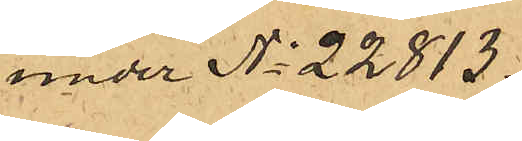under No 22813
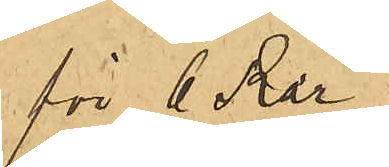för 6 Rdr;
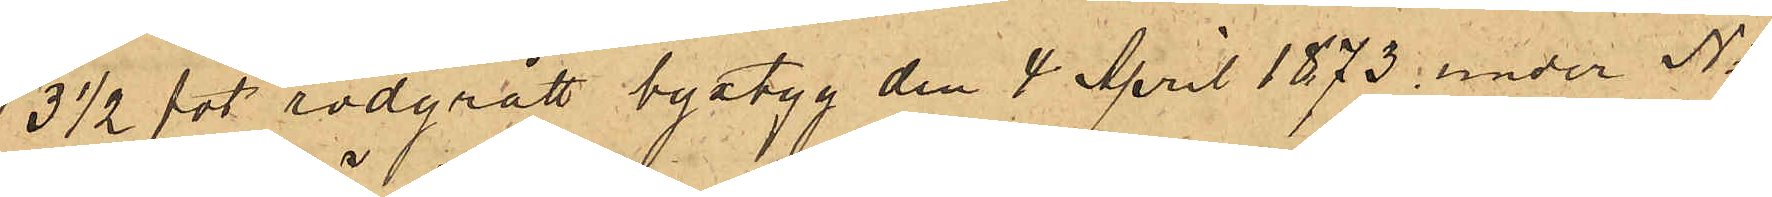3 ½ fot rödgrått byxtyg den 4 April 1873 under No
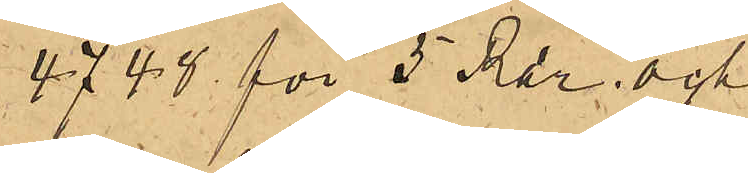4748 för 5 Rdr; och
